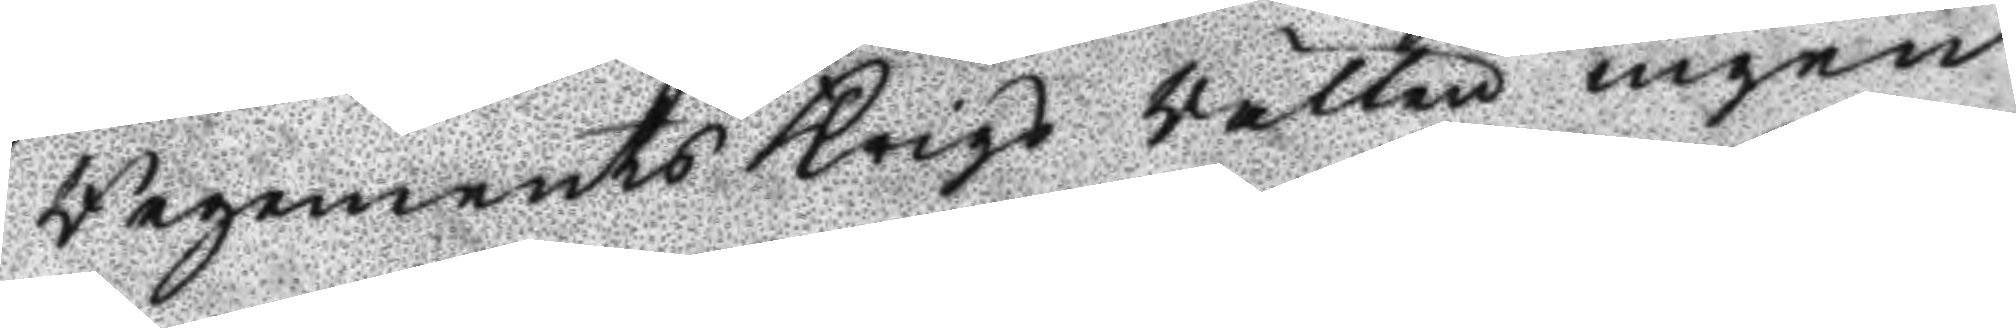Regements Krigs Rätten ingen
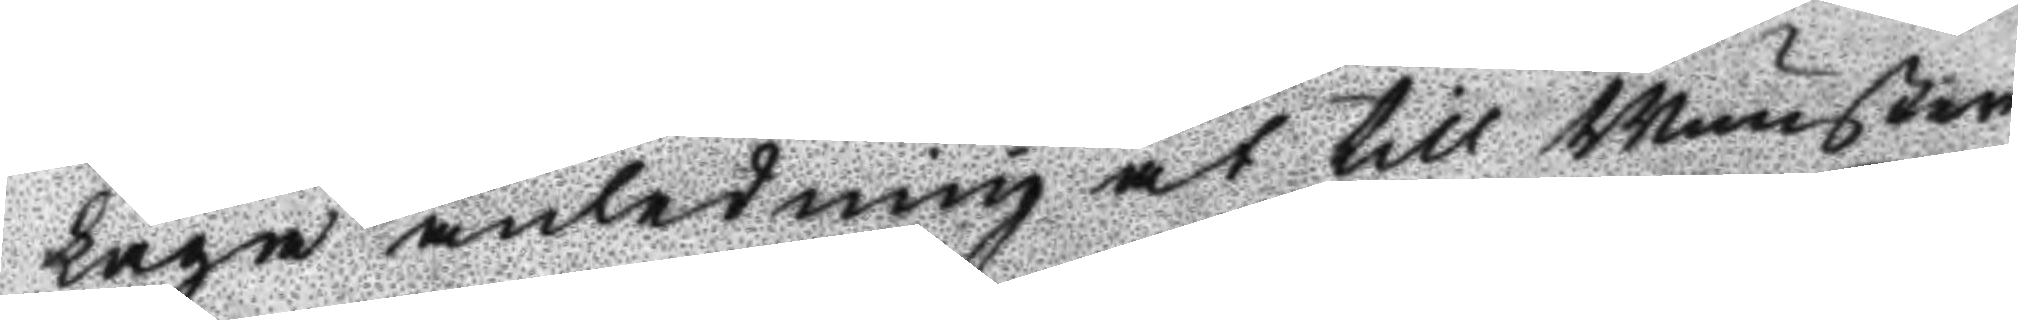laga anledning at till Munster¬
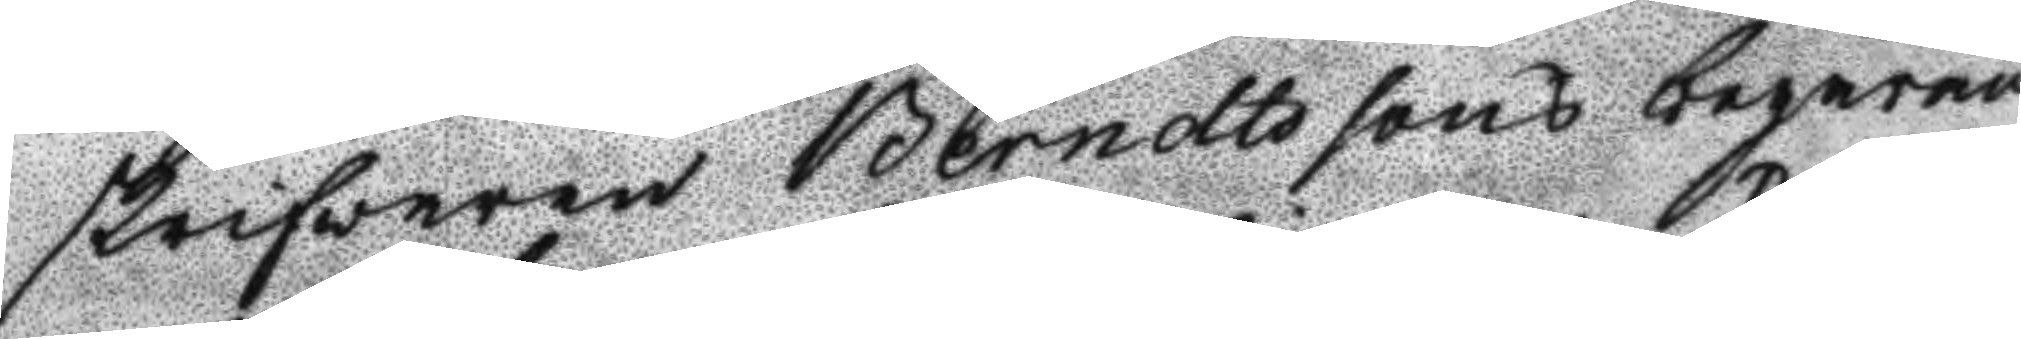skrifwaren Berndtssons begäran
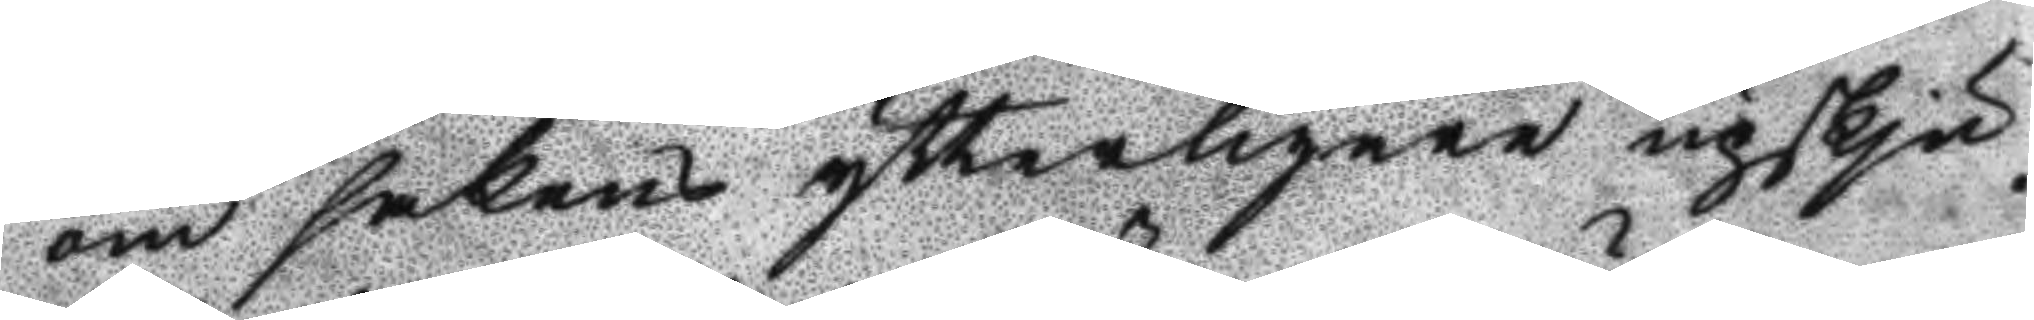om sakens ytterligare upskju¬
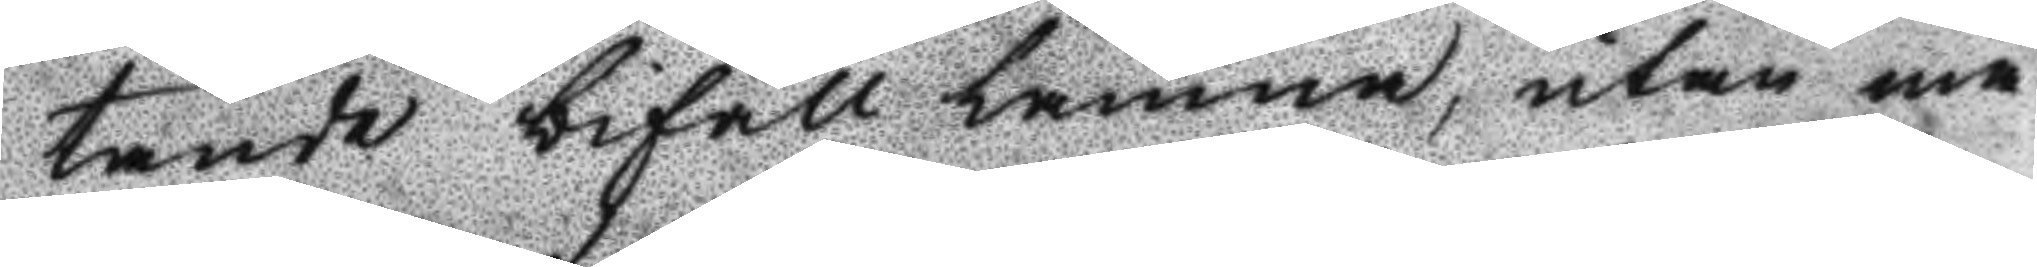tande bifall lämna, utan må
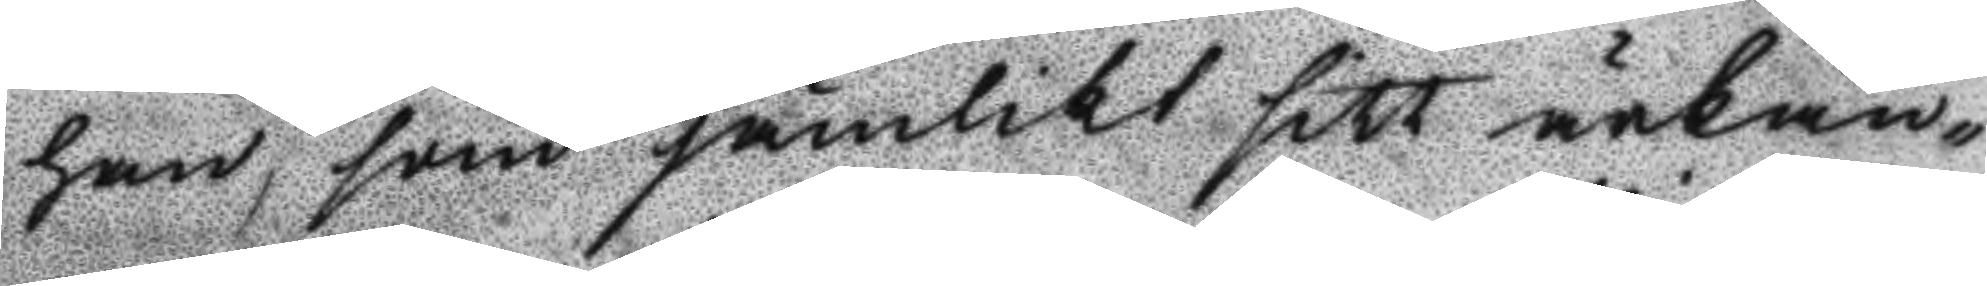han, som jämlikt sitt ärkän¬
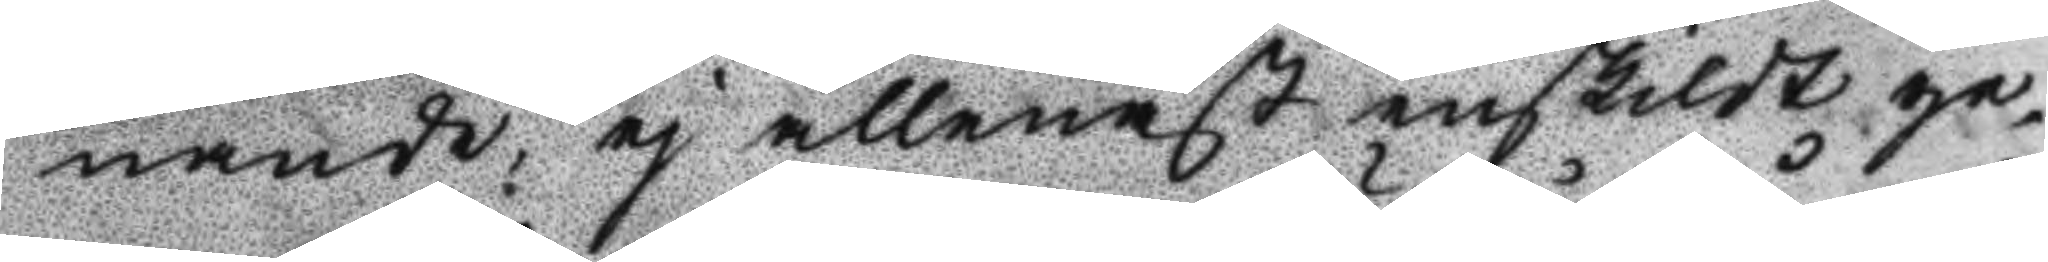nande, ej allenast enskildt ge¬
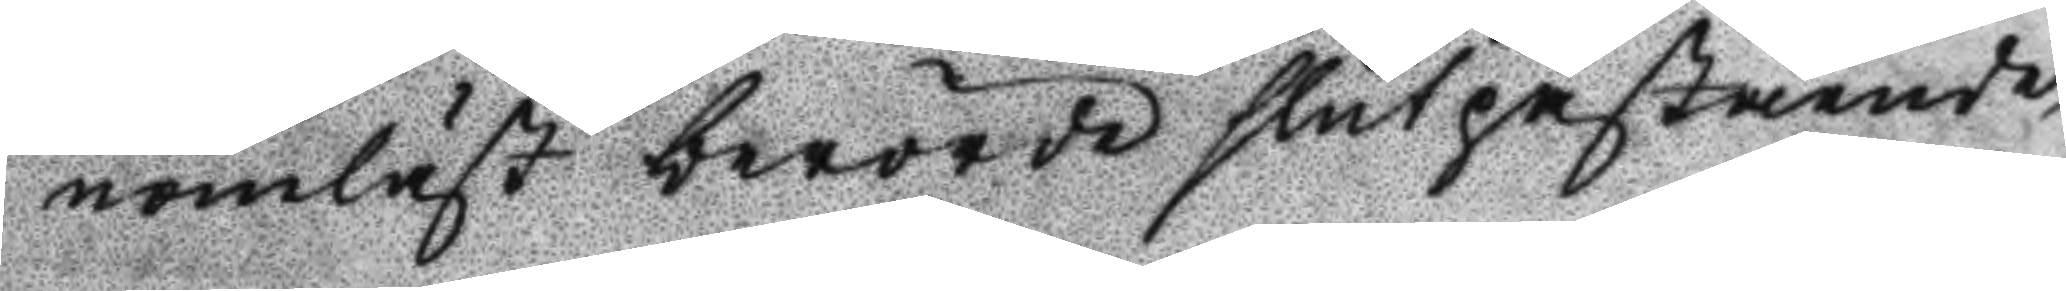nomläst berörde slutpåstående
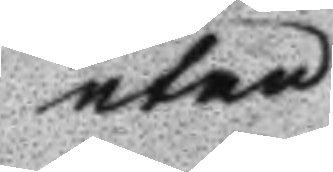utan
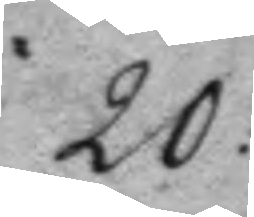20:
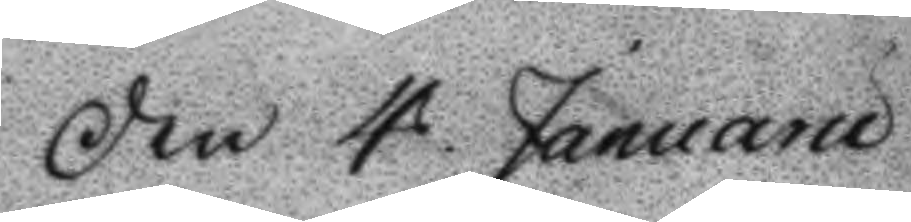den 4 Januarii
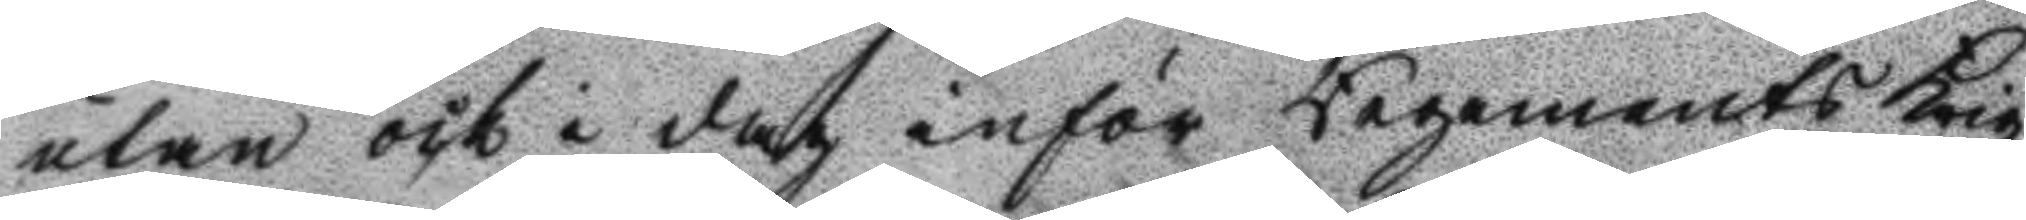utan ock i dag inför Regements Krigz
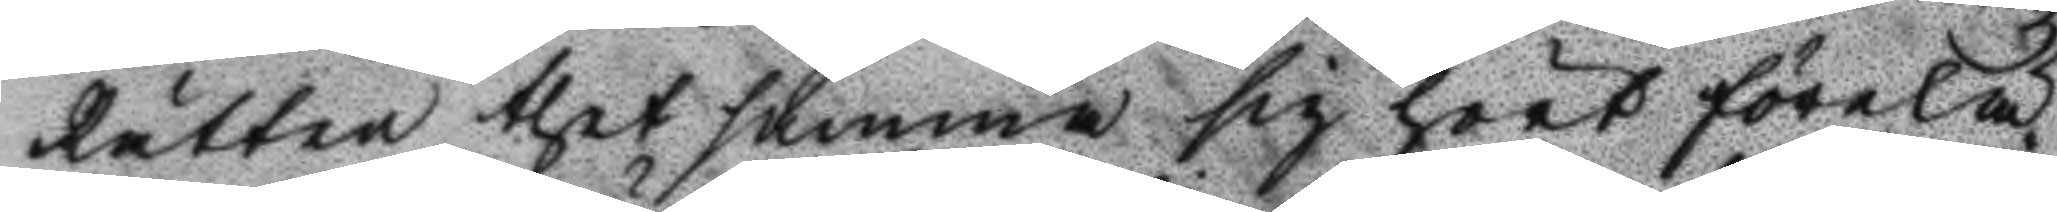Rätten thet samma sig hört förelä¬
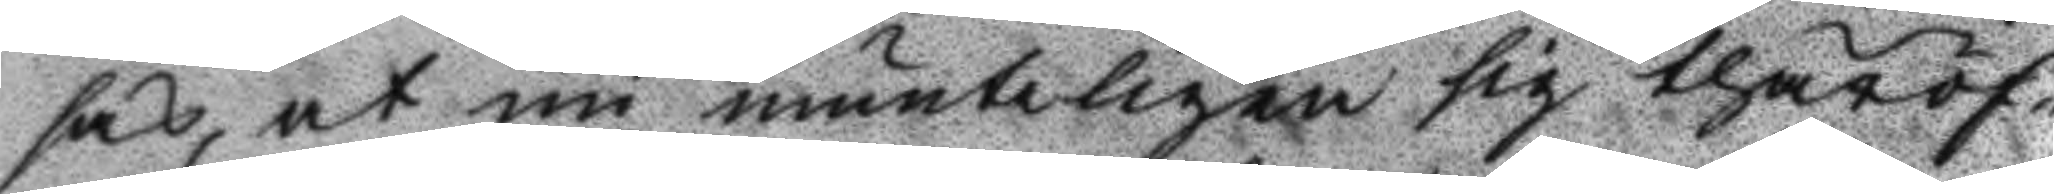sas, at nu munteligen sig theröf¬
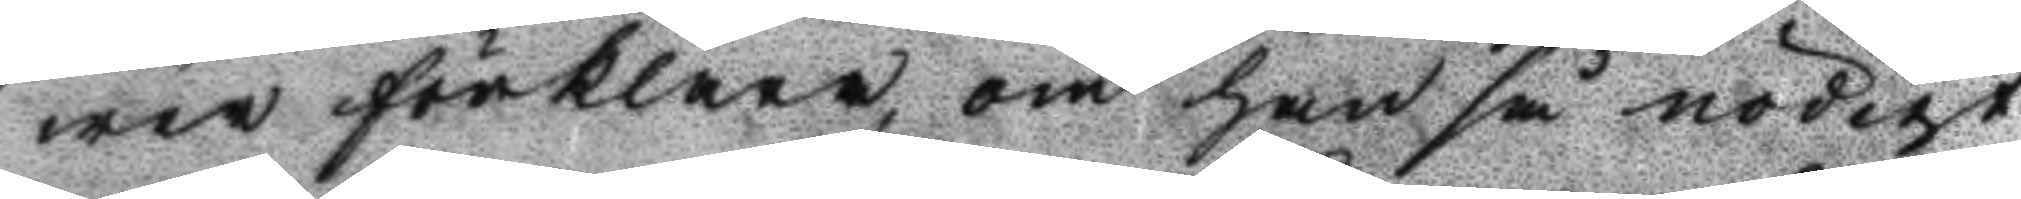wer förklara om han så nödigt
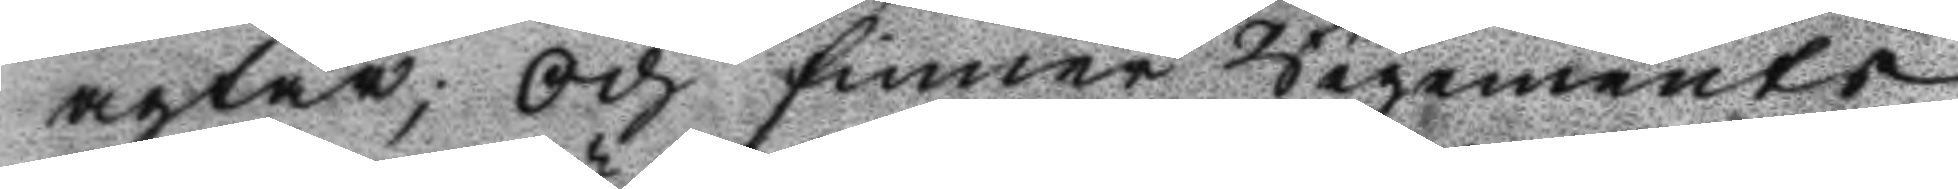agtar; Och finner Regements
